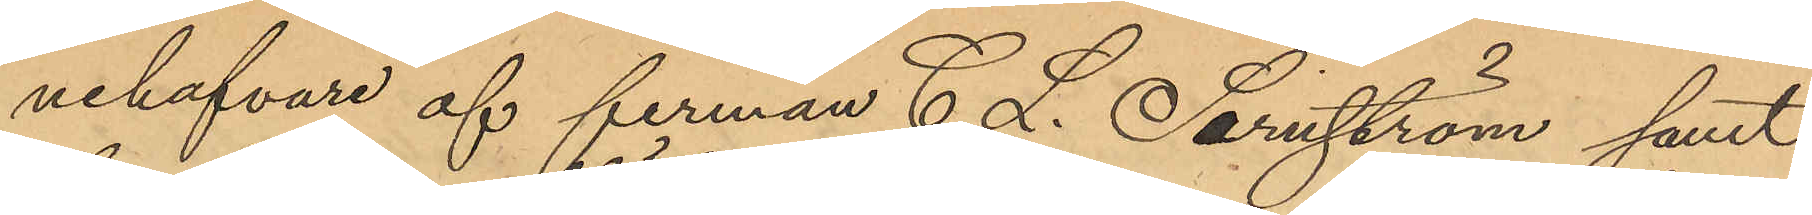nehafvare af firman C. L. Sernström samt
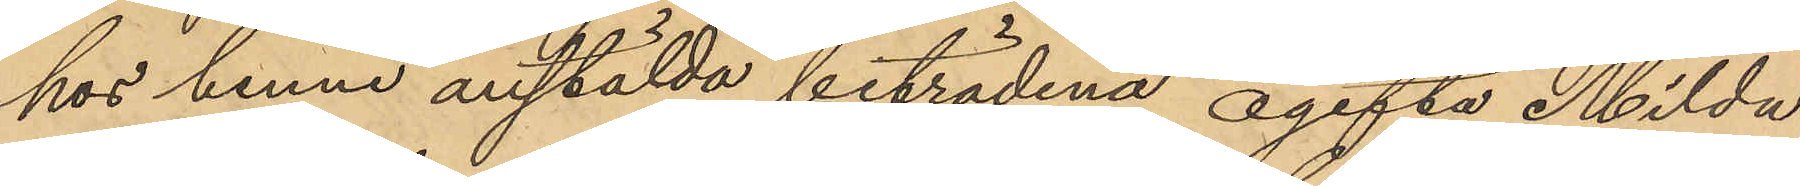hos henne anstälda biträdena ogifta Milda
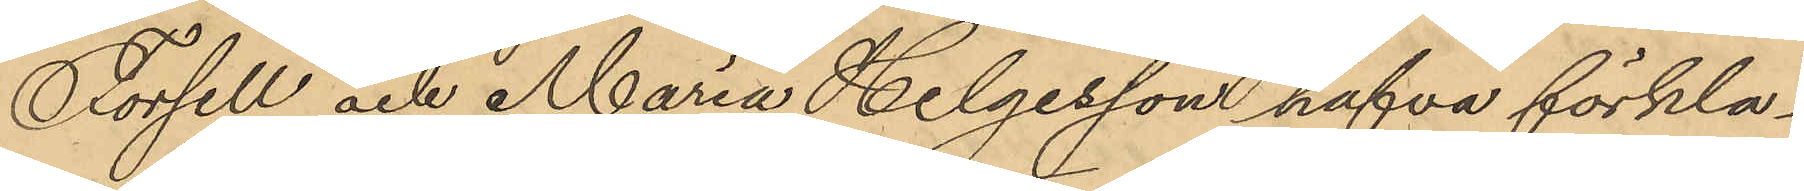Forsell och Maria Helgesson hafva förkla¬
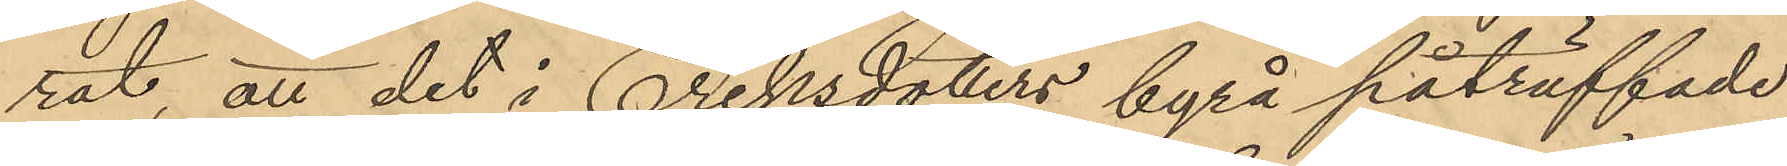rat att det i Eriksdotters byrå påträffade
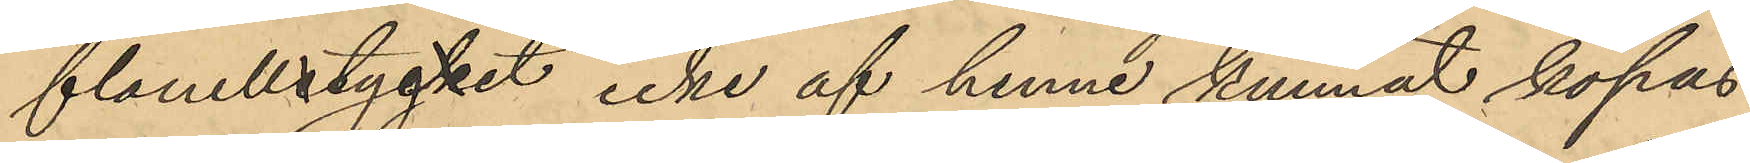flanellstycket icke af henne kunnat köpas
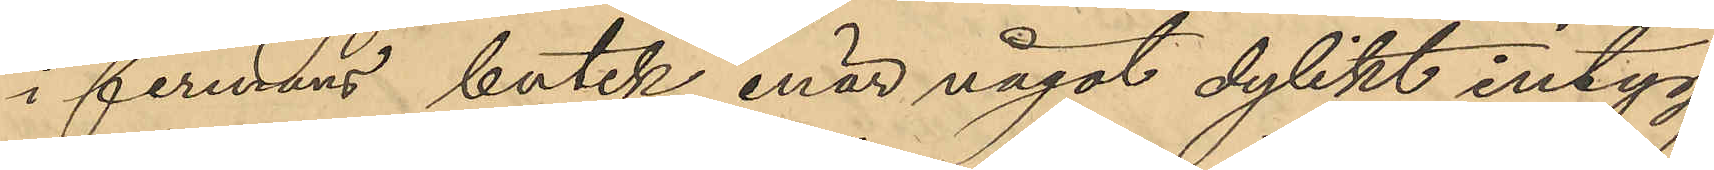i firmans butik, enär något dylikt intyg
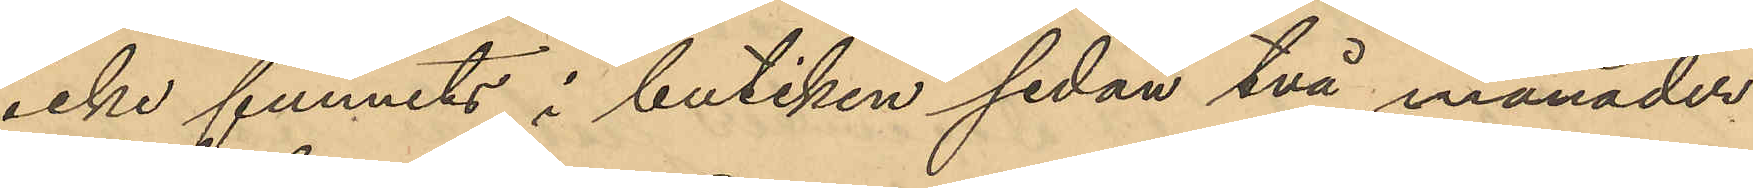icke funnits i butiken sedan två månader
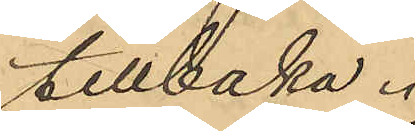tillbaka.
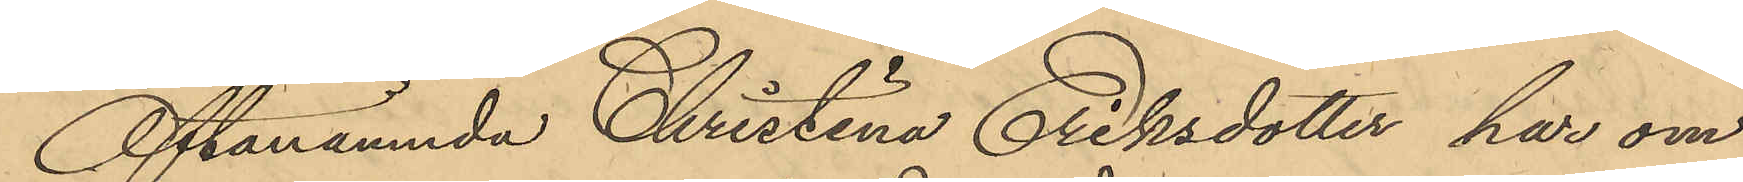Oftanämnda Christina Eriksdotter har om
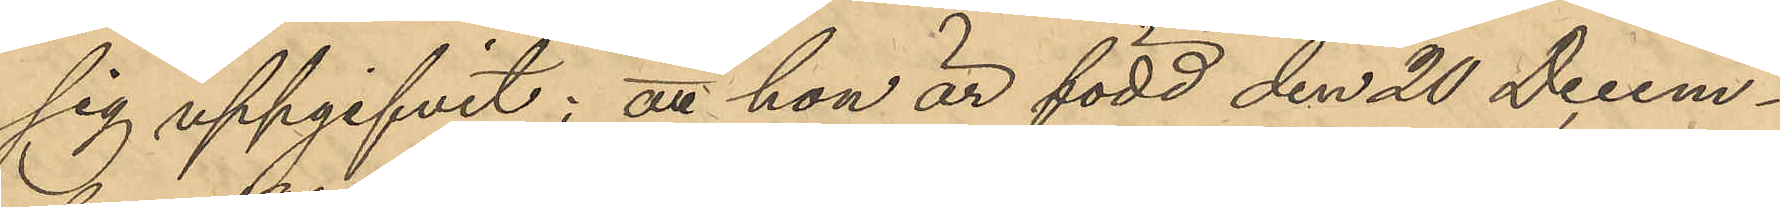sig uppgifvit: att hon är född den 20 Decem¬
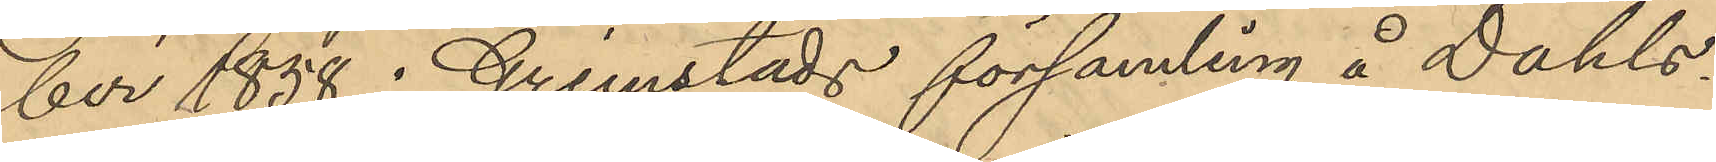ber 1858 i Gremstads församling å Dahls¬
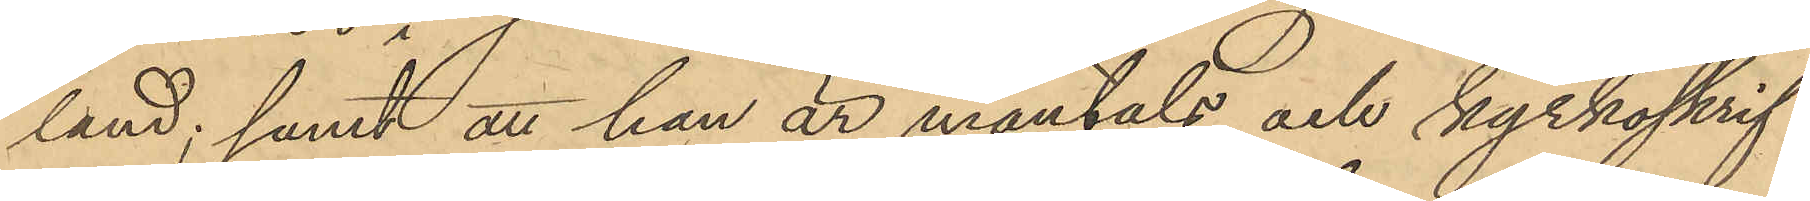land; samt att hon är mantals och kyrkoskrif¬
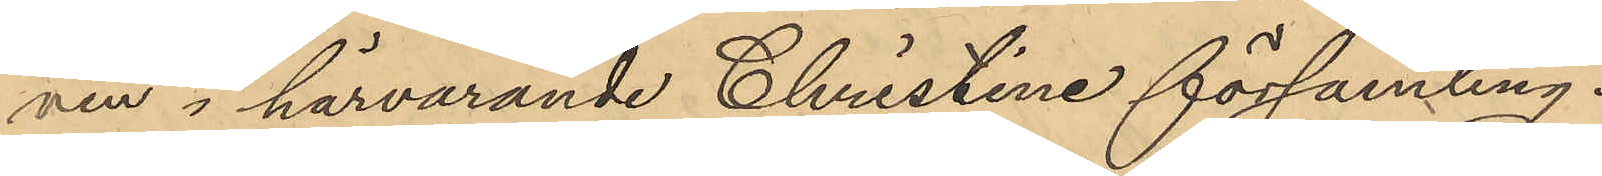nen i härvarande Christine församling.
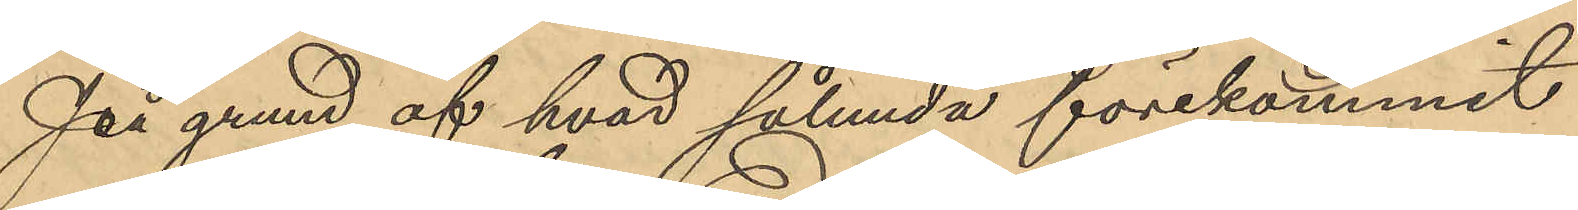På grund af hvad sålunda förekommit
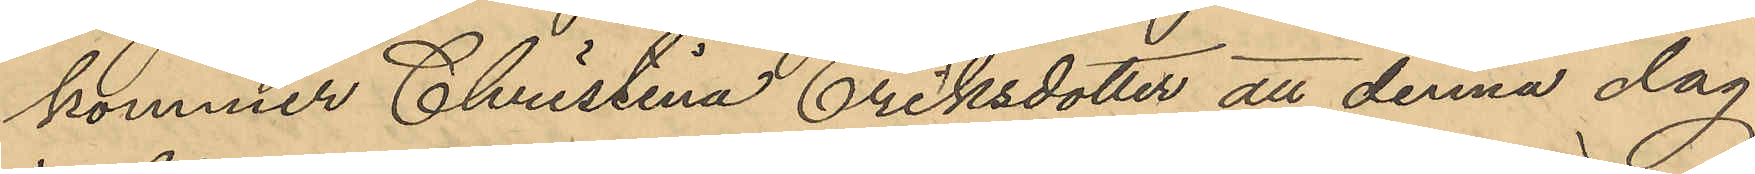kommer Christina Eriksdotter att denna dag
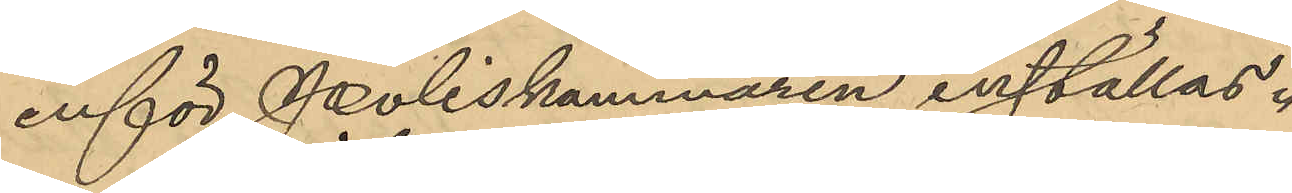inför Poliskammaren inställas.
